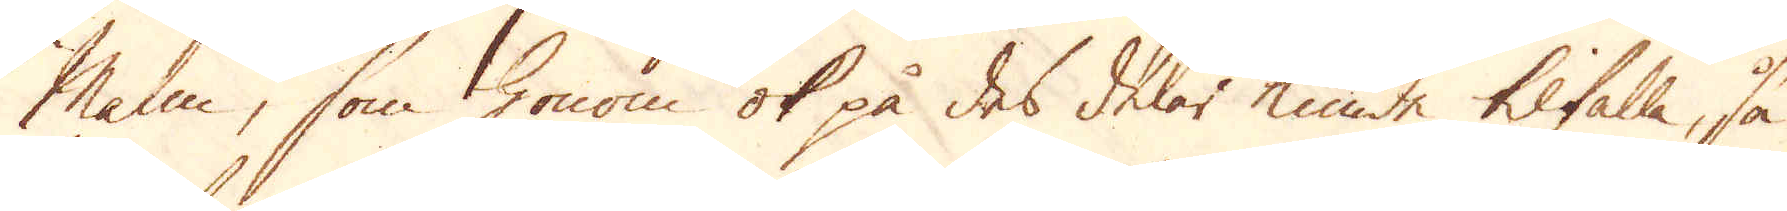Malm, som honom ok på des delar kunde tilfalla, så
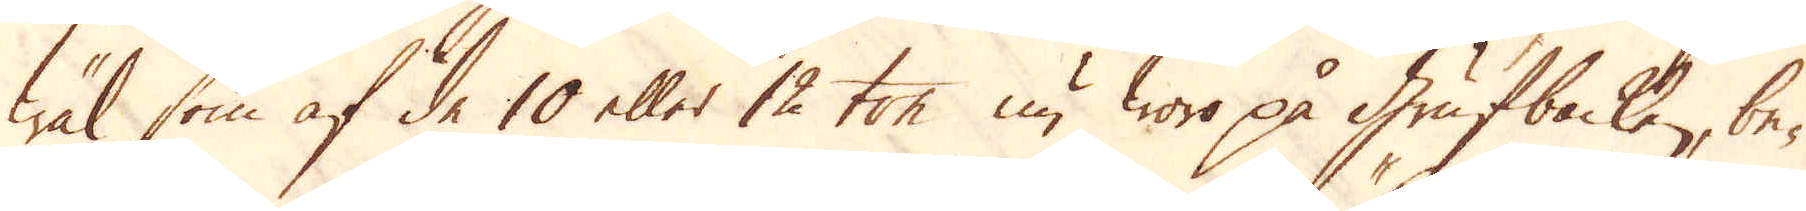wäl som af de 10 eller 12 ton nu woro på Grufbacken, be-
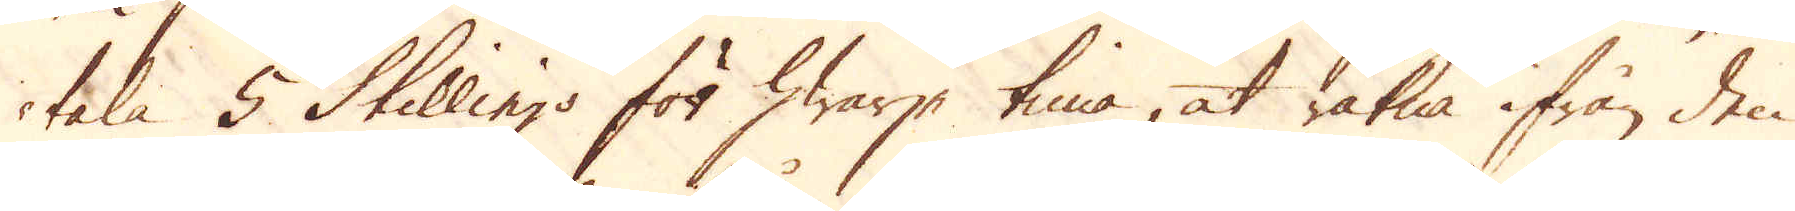tala 5 Skillings för hwarje tima, at räkna ifrån den
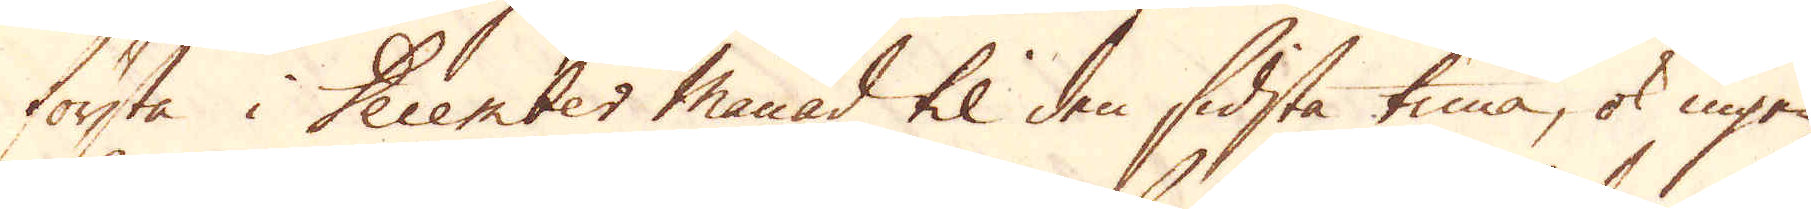första i December månad til den sidsta tima, ok ingen
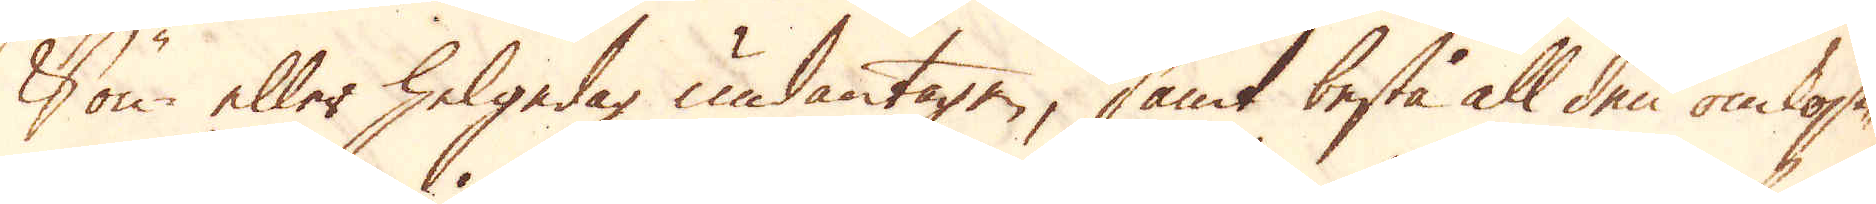Sön eller helgedag undantagen, samt bestå all den omkost-
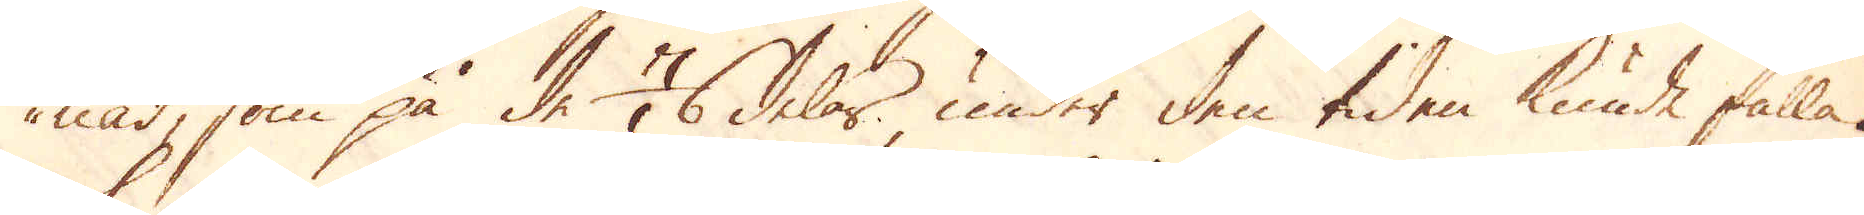nad, som på de 1/6 delar, under den tiden kunde falla.
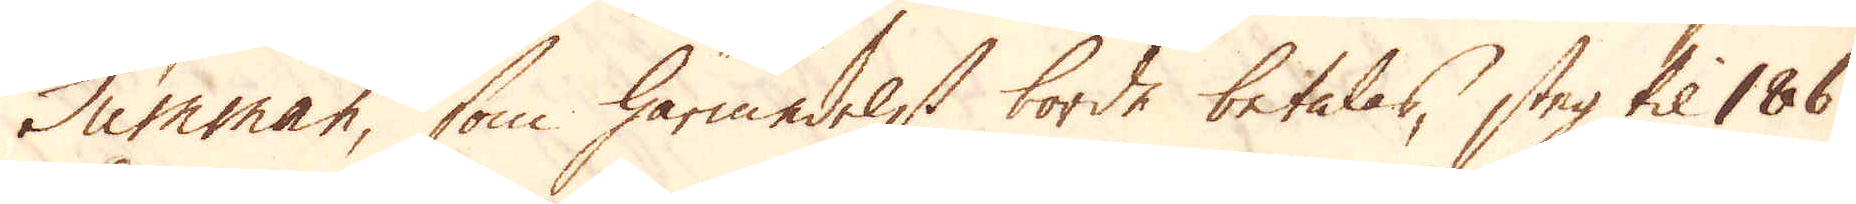Summan, som härmedelst borde betalas, steg til 186
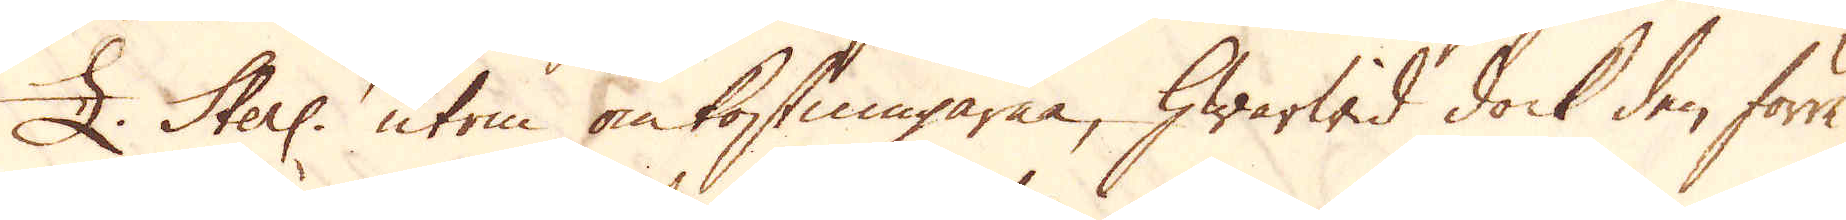£. Sterl: utom omkostningarne, hwarwid dock den förre
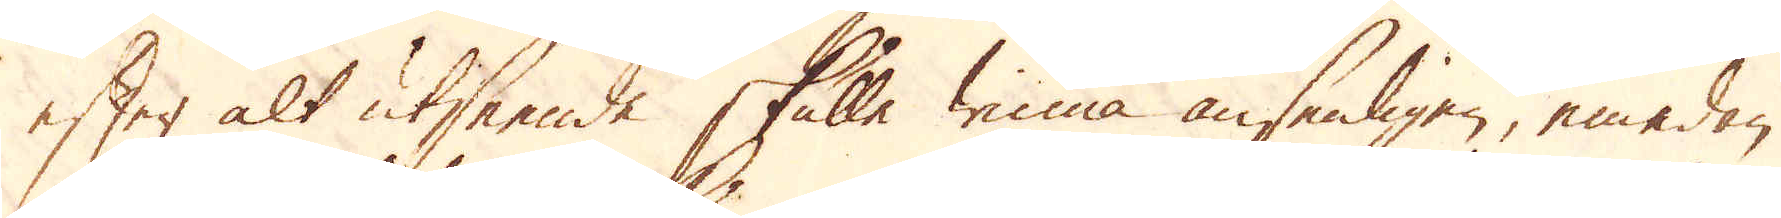efter alt utseende skulle winna ansenligen, emedan
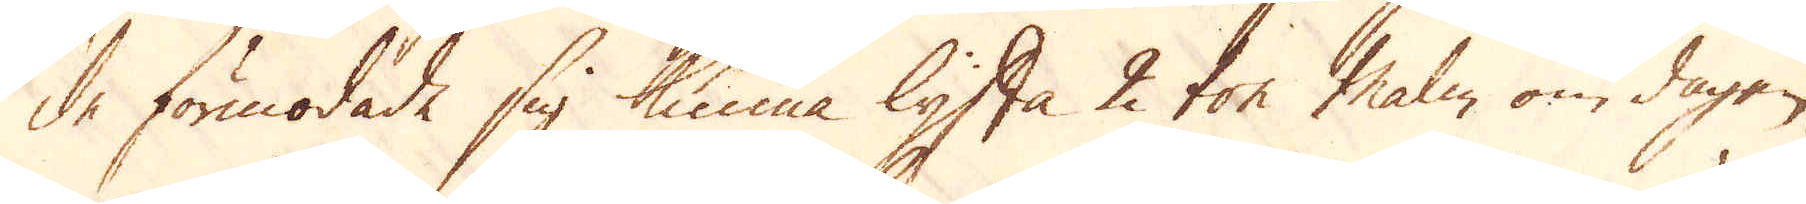de förmodade sig kunna lyfta 2 ton malm om dagen
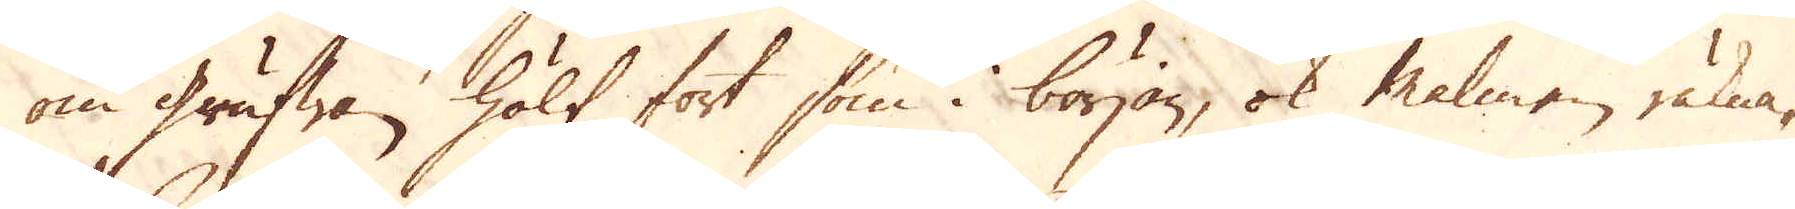om grufwan, hölt fort som i början, ok malmen räkna-
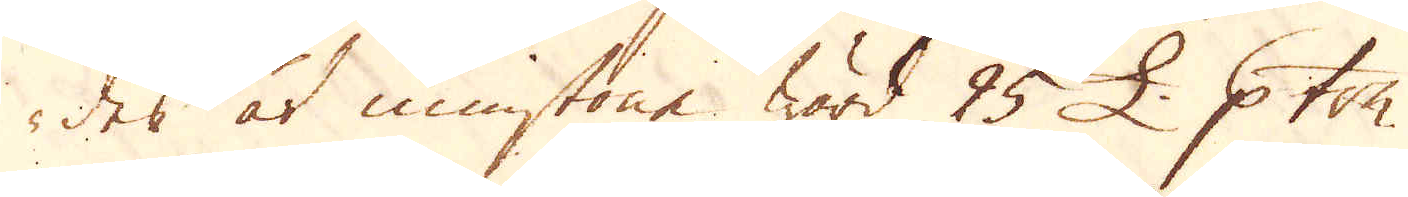des åt minstone wärd 25 £. p ton.
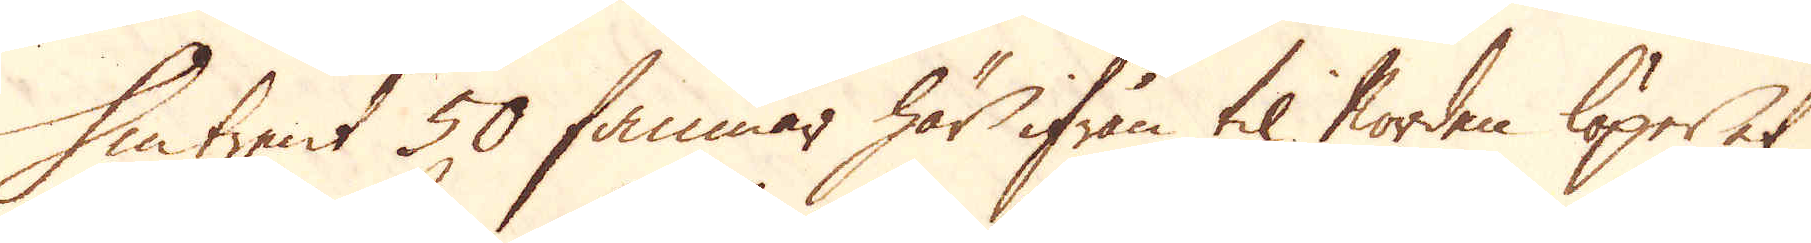Omtrent 50 famnar här ifrån til worden löper at
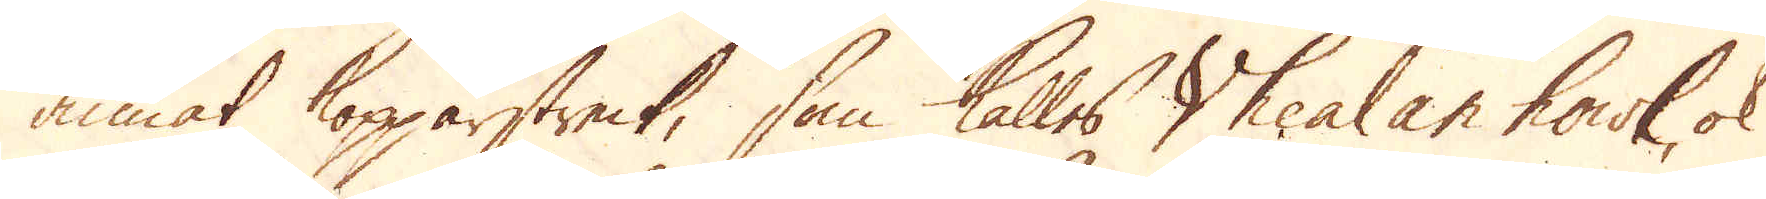annat kopparstreck, som kallas Vhealan howl, ok
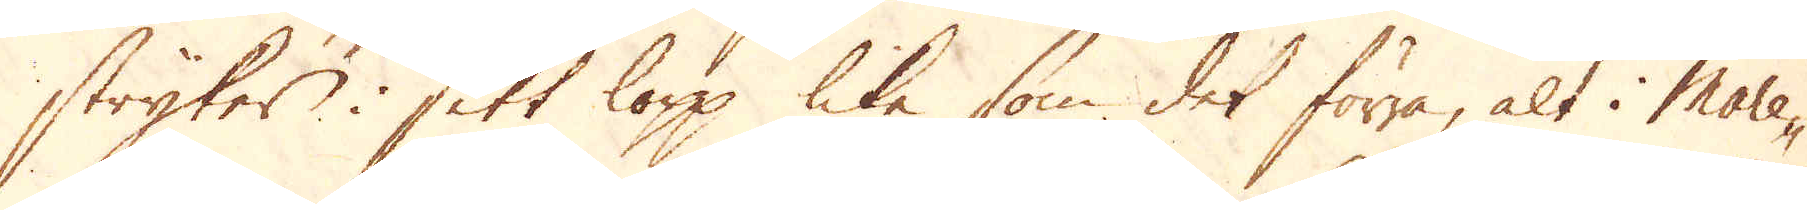stryker i sitt lopp lika som det förra, alt i More-
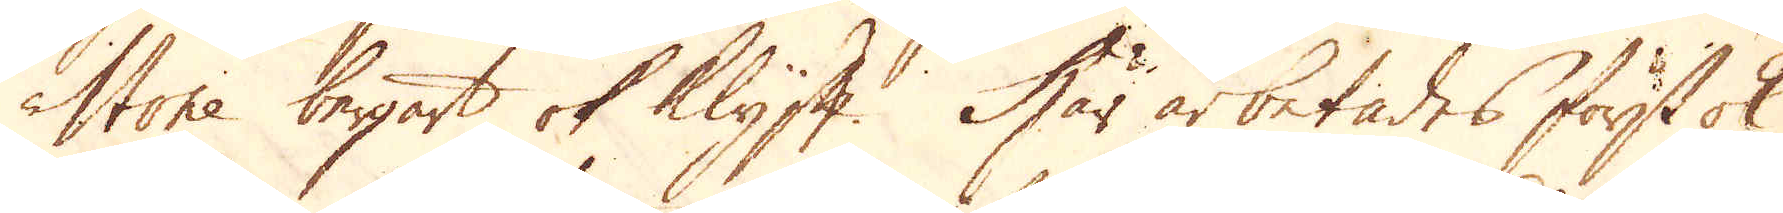stone bergart ok Klyft. Här arbetades först ok
